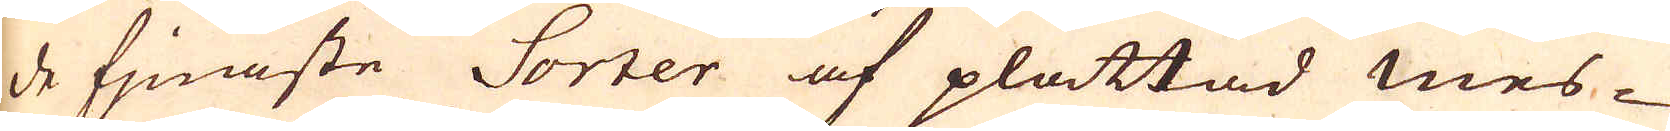de fjnaste Sorter af plattad mes-
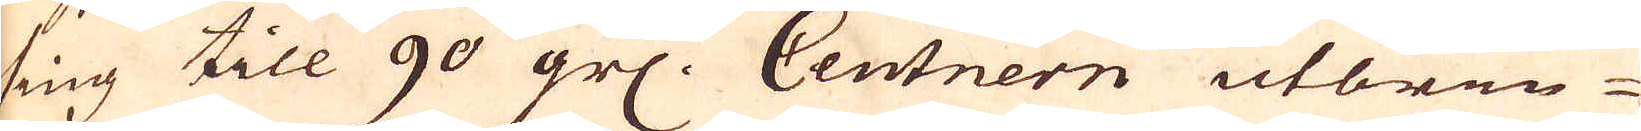sing till 90 grs. Centnern utbrin-
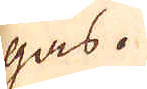gas.
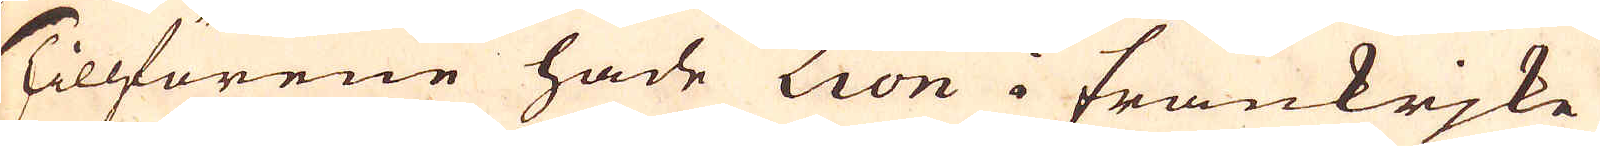Tillförene hade Lion i Frankrjke
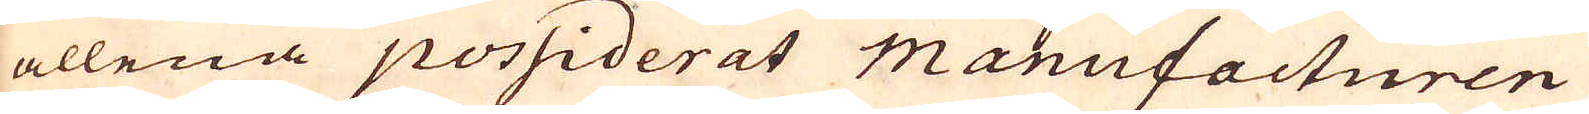allena possiderat manufacturen
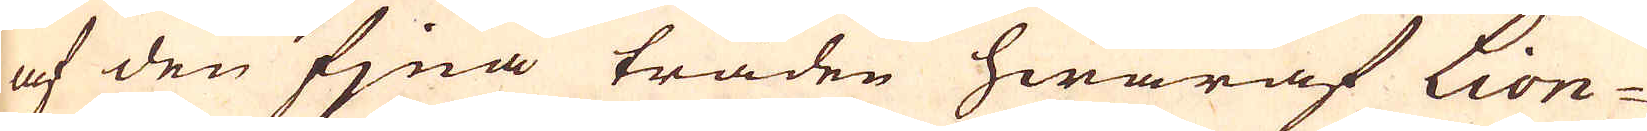af den fjna tråden hwaraf Lion-
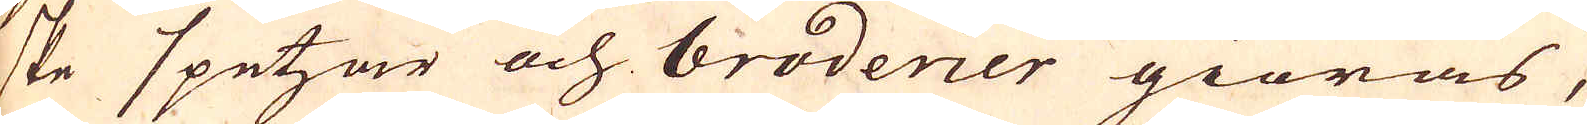ske spetzar och broderier giöras,
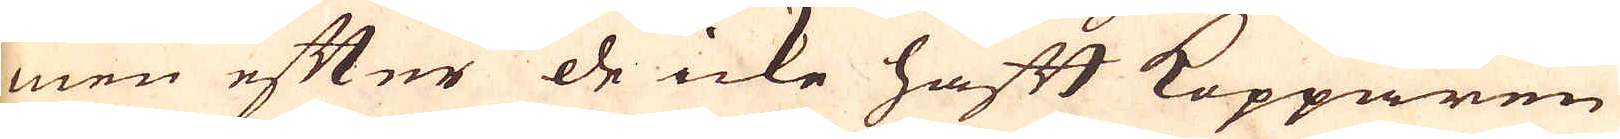men efter de icke haft Kopparen
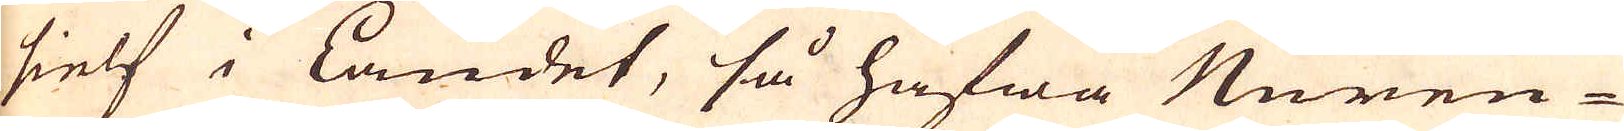sielf i Landet, så hafwa Nuren-
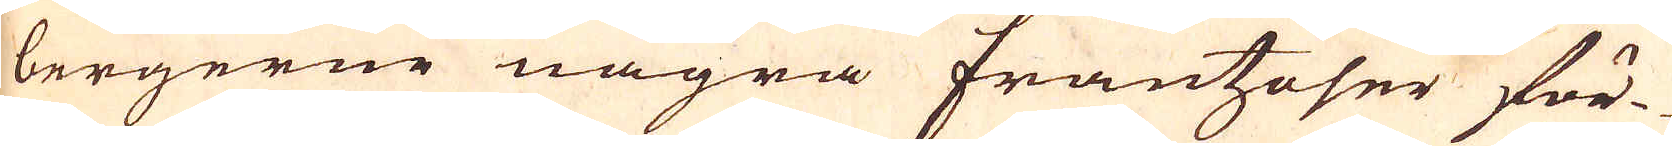bergerne några frantzoser för-
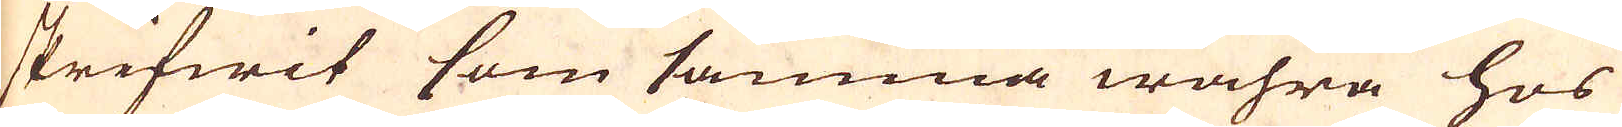skrifwit som samma wahra hos
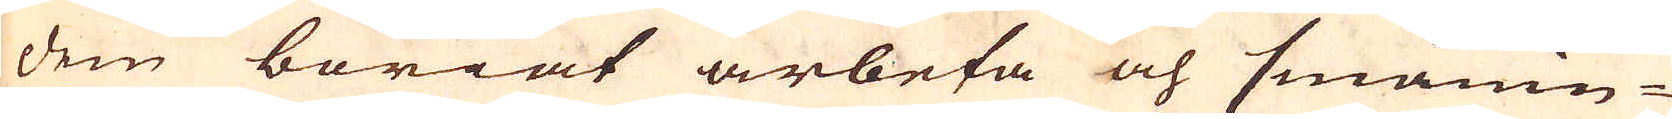dem böriat arbeta och smånin-
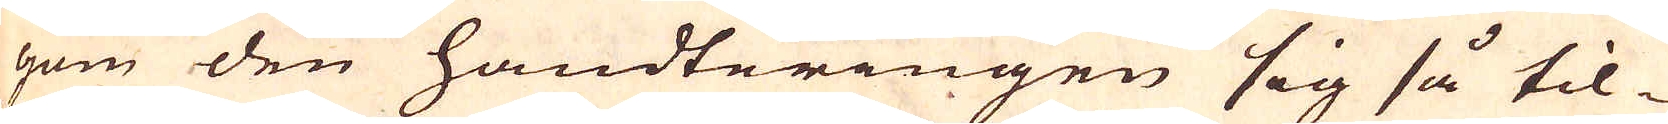gom den handteringen sig så til-
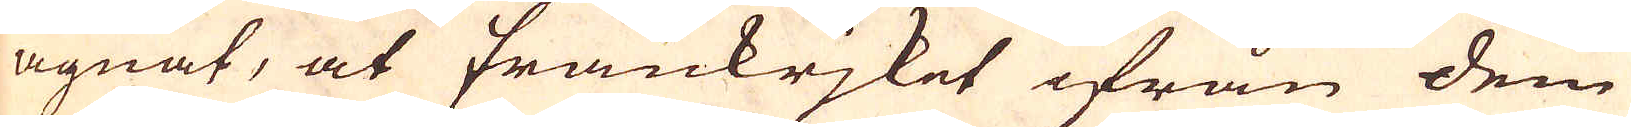ägnat, at Frankrjket ifrån dem
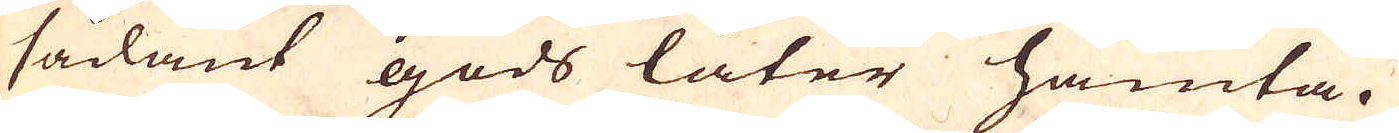sådant gods låter hämta.
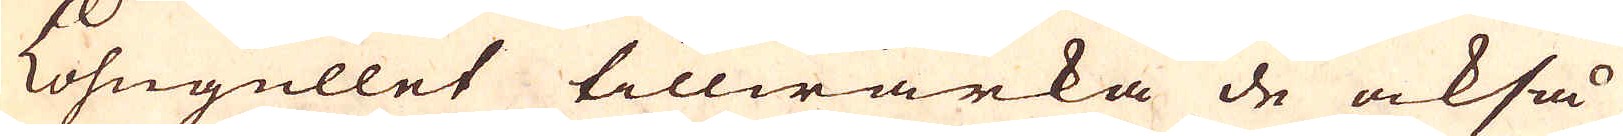Lohngullet tillwärka de också
